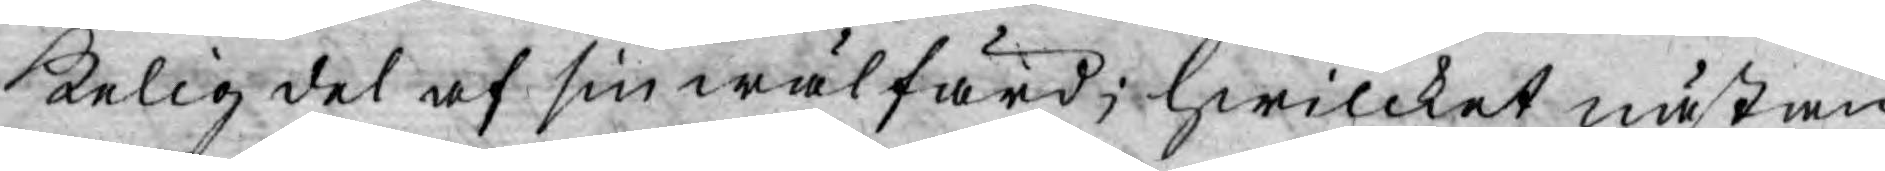kelig del af sin wälfärd; hwilcket nästan
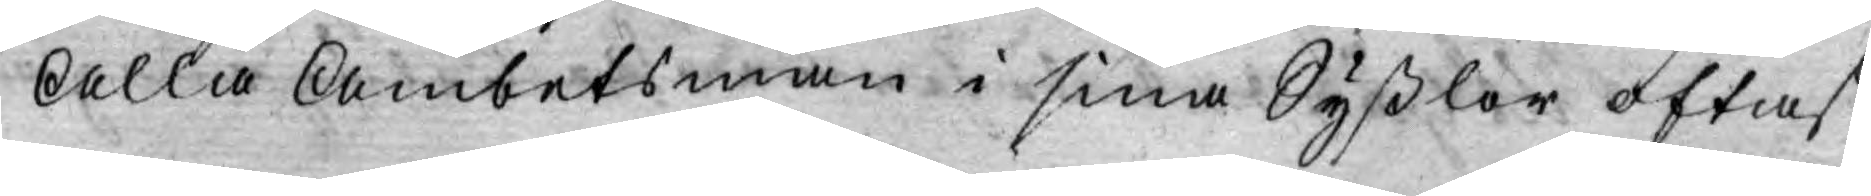Alla Ämbetsmän i sina Syßlor oftast
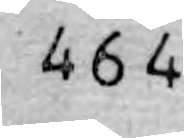464
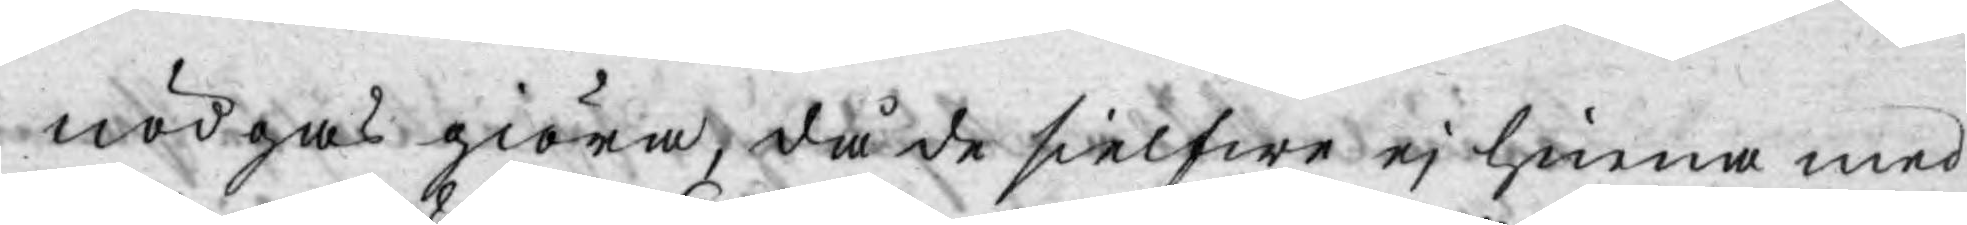nödgas giöra, då de sielfwe ej hinna med
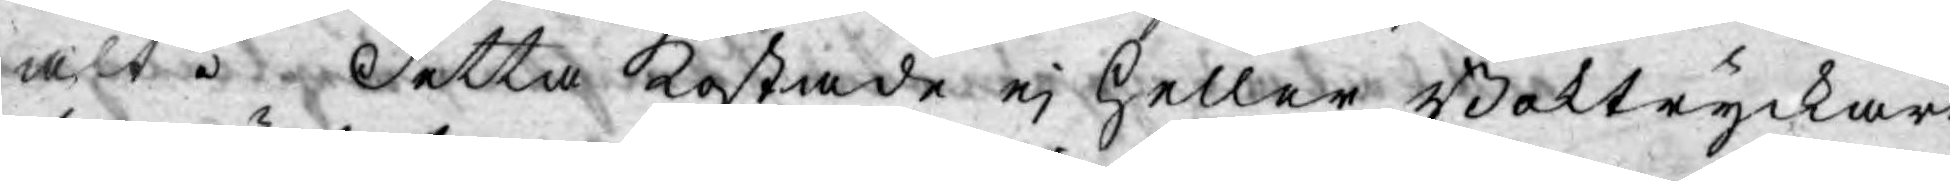alt. Detta kostade ej heller Boktryckare
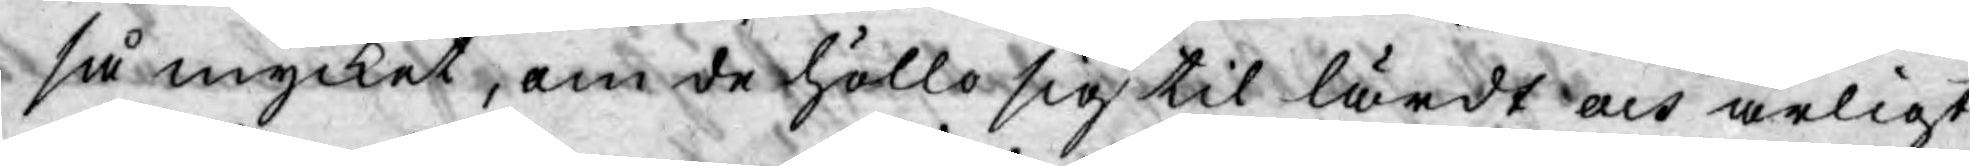så mycket, om de hölla sig til lärdt och ärligt
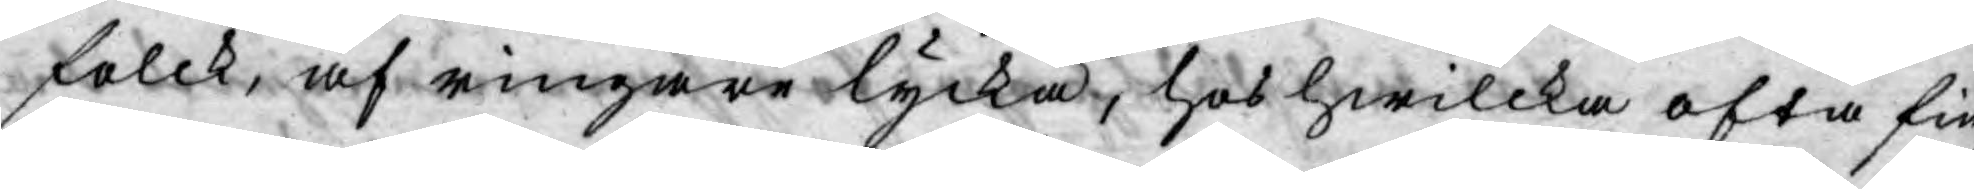folck, af ringare lycka, hos hwilcka ofta fin¬
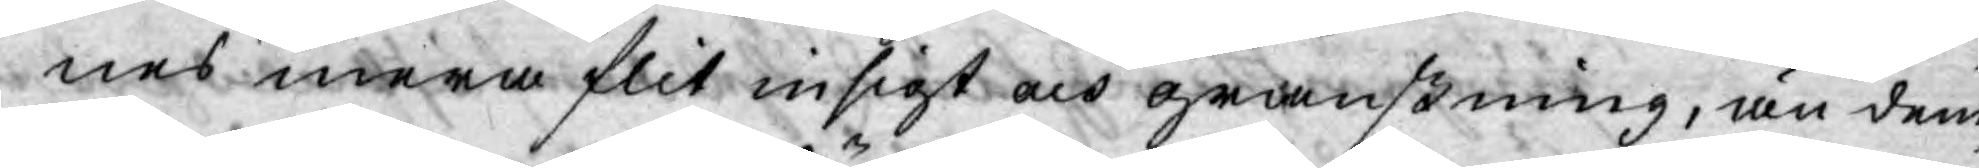nes mera flit insigt och granskning, än dem,
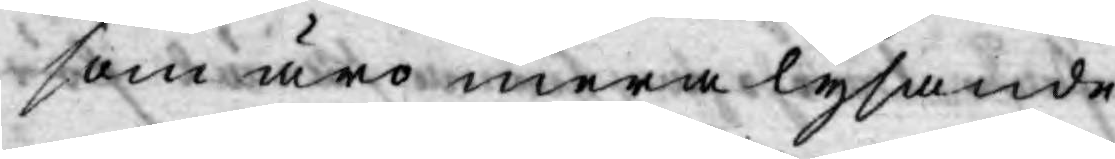som äro mera lysande.
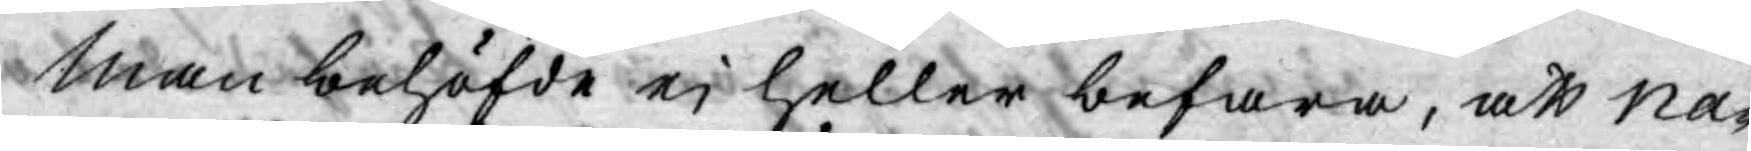Man behöfde ej heller befara, att Na¬
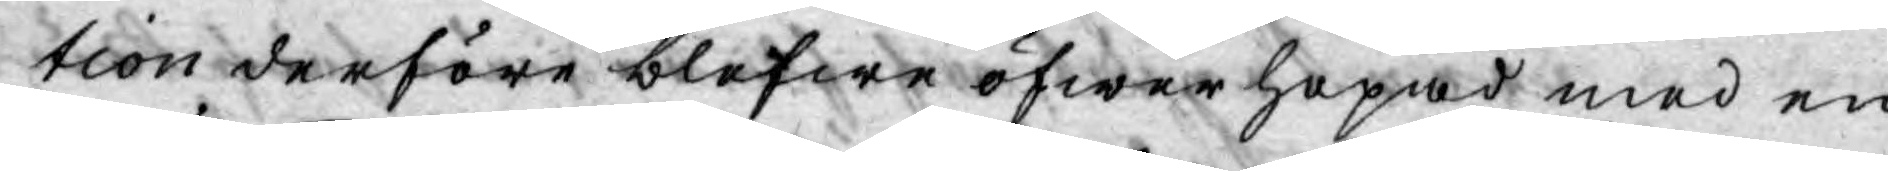tion derföre blefwe öfwerhopad med en
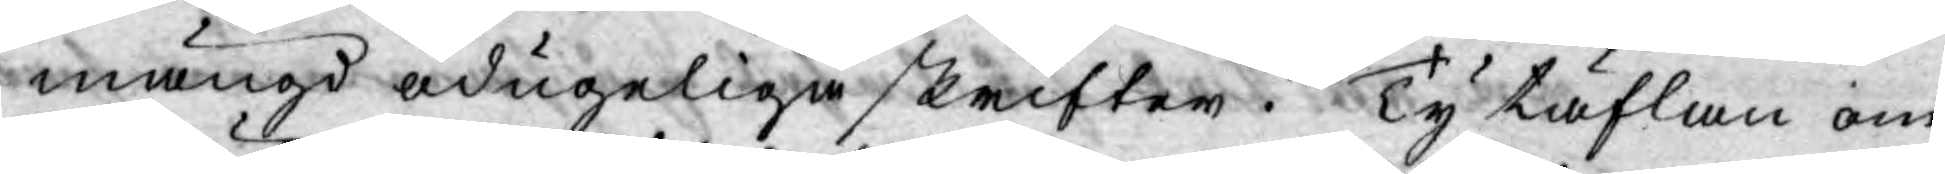mängd odugeliga skrifter. Ty täflan om
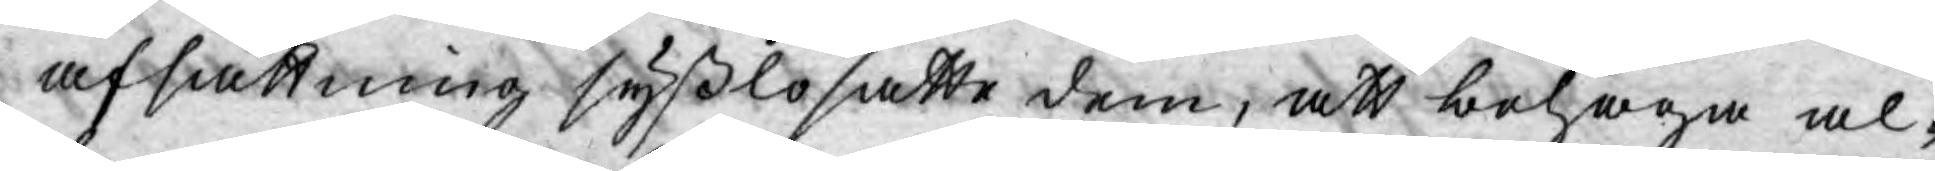afsättning syßlosatte dem, att behaga al¬
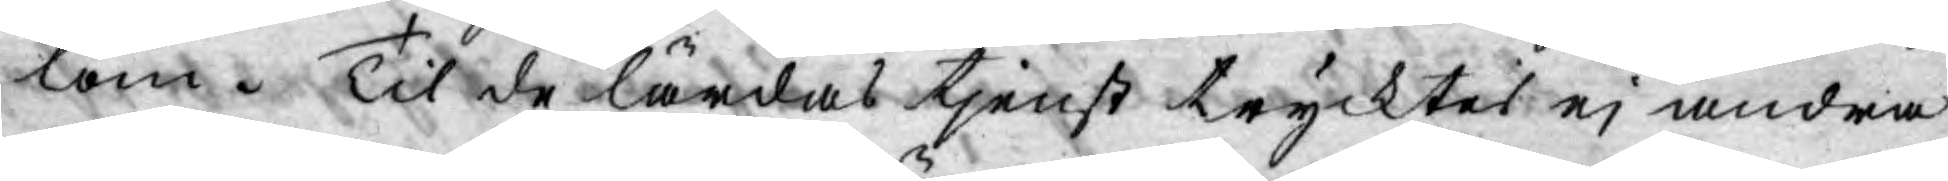lom. Til de lärdas tjenst trycktes ej andra
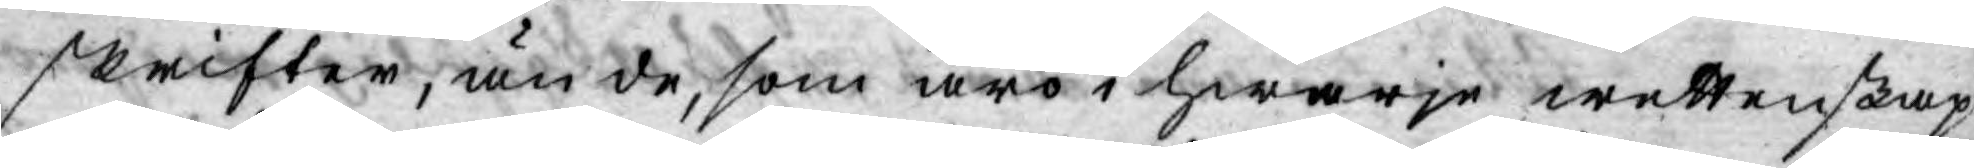skrifter, än de, som äro i hwarje wettenskap
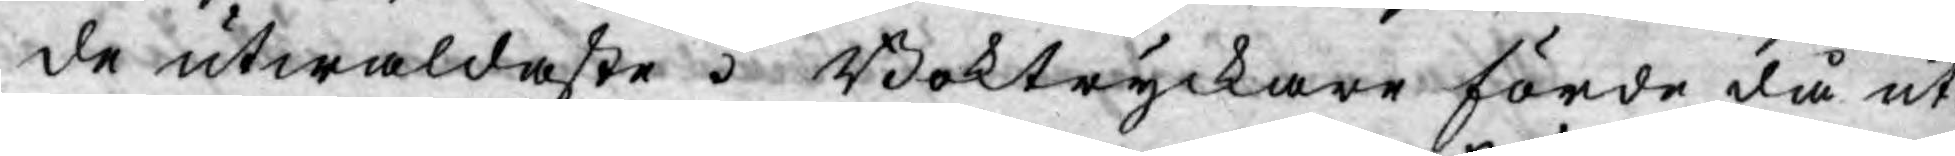de utwaldaste. Boktryckare förde då ut¬
